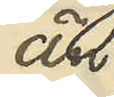än
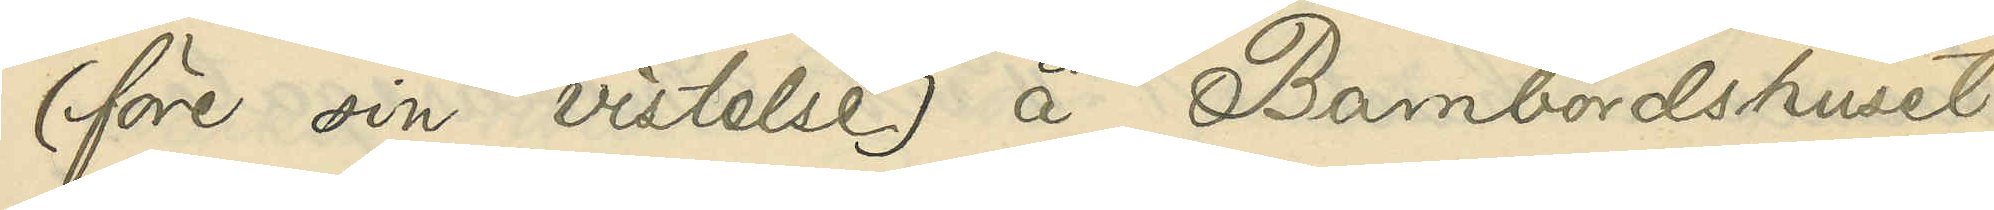(före sin vistelse) å Barnbördshuset.
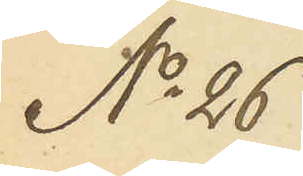No 26
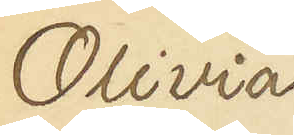Olivia
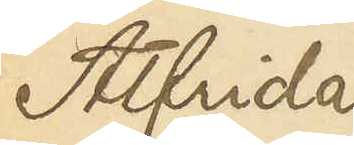Alfrida
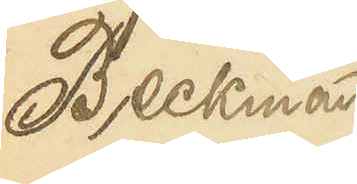Beckman
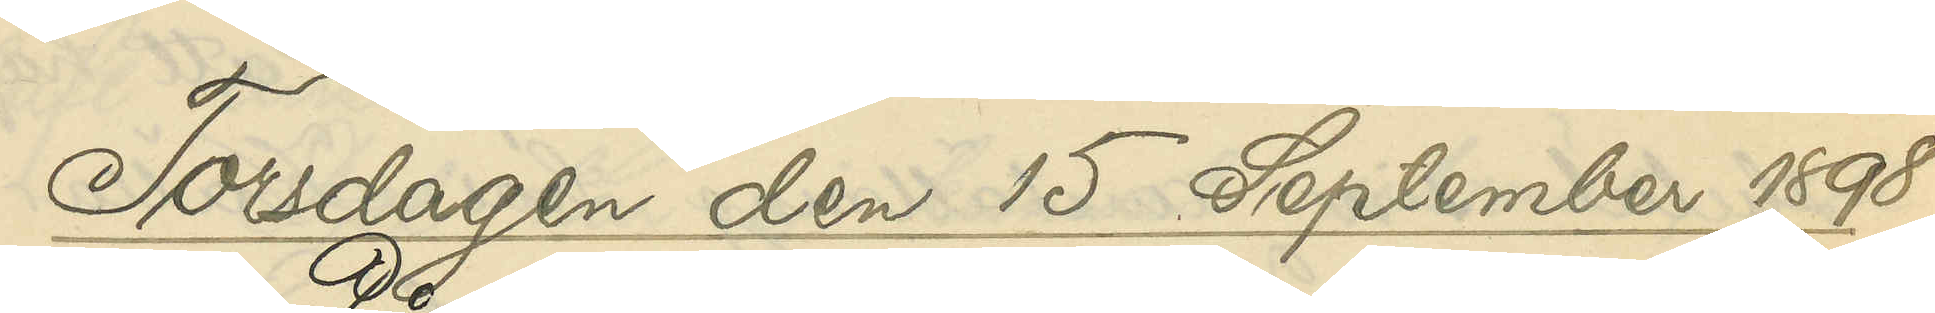Torsdagen den 15 September 1898.
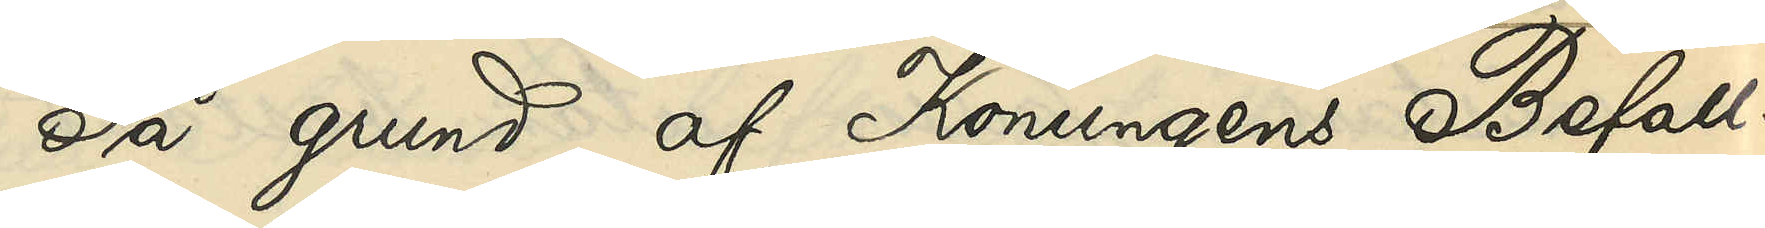På grund af Konungens Befall¬
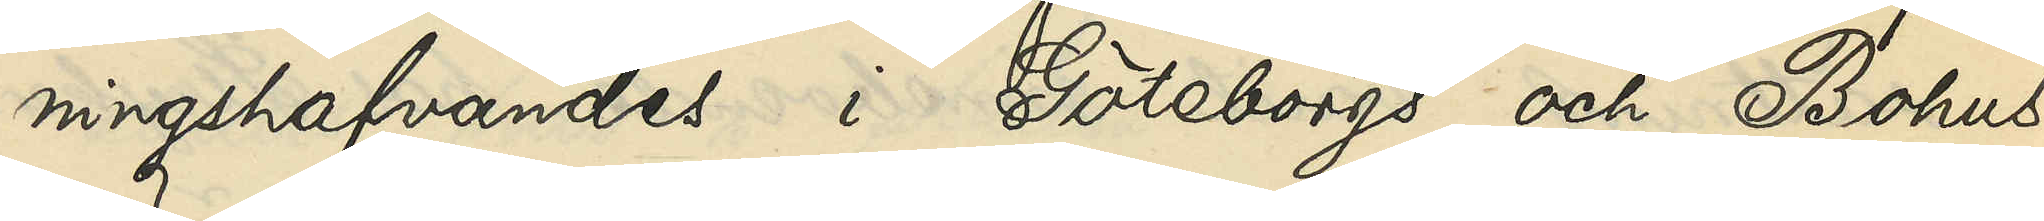ningshafvandes i Göteborgs och Bohus
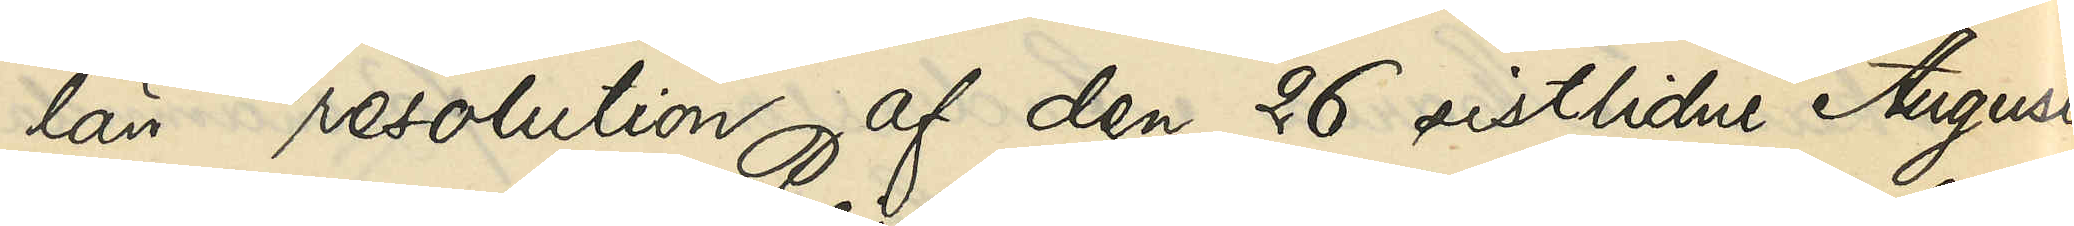län resolution af den 26 sistlidne Augusti,
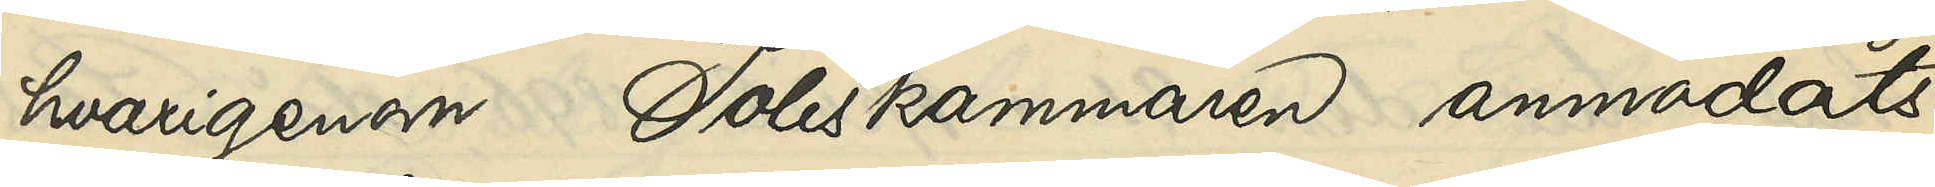hvarigenom Poliskammaren anmodats
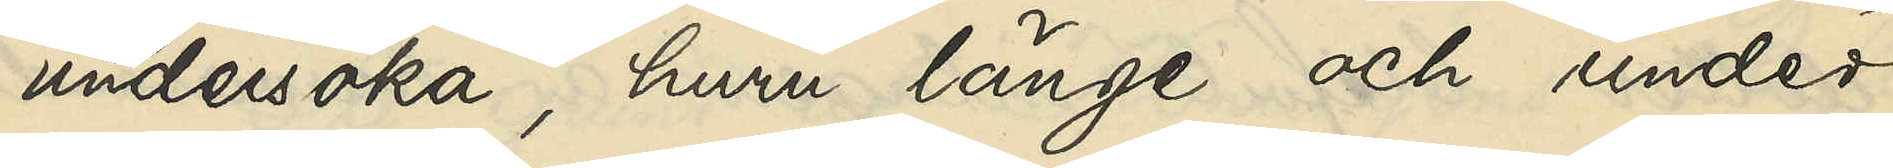undersöka, huru länge och under
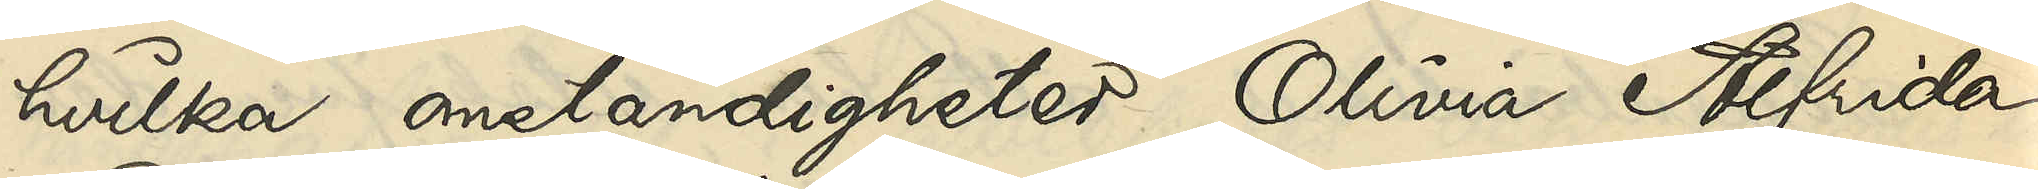hvilka omständigheter Olivia Alfrida
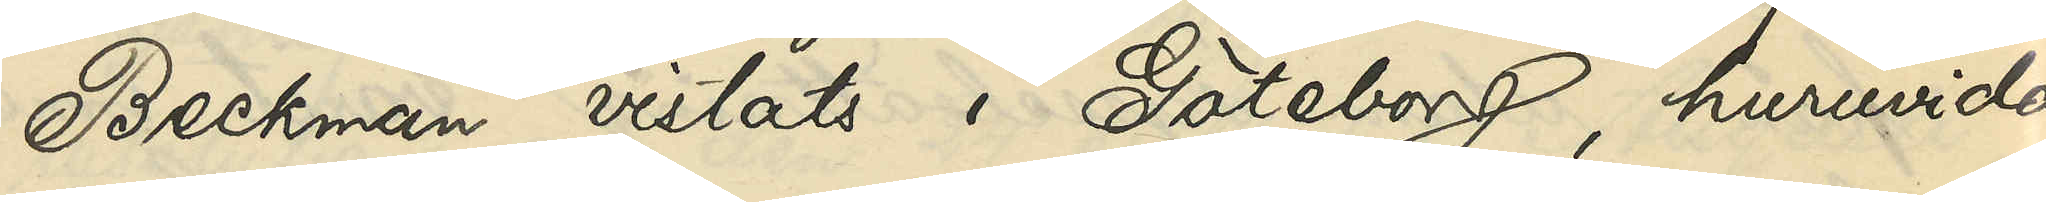Beckman vistats i Göteborg, huruvida
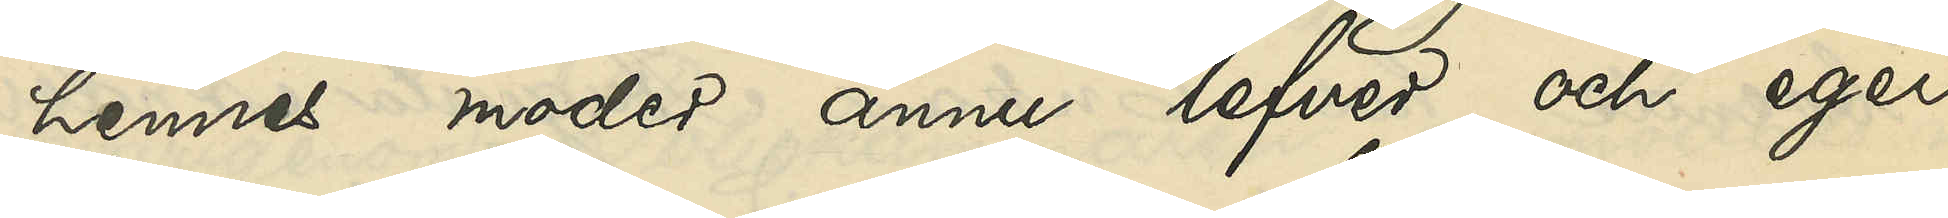hennes moder ännu lefver och eger
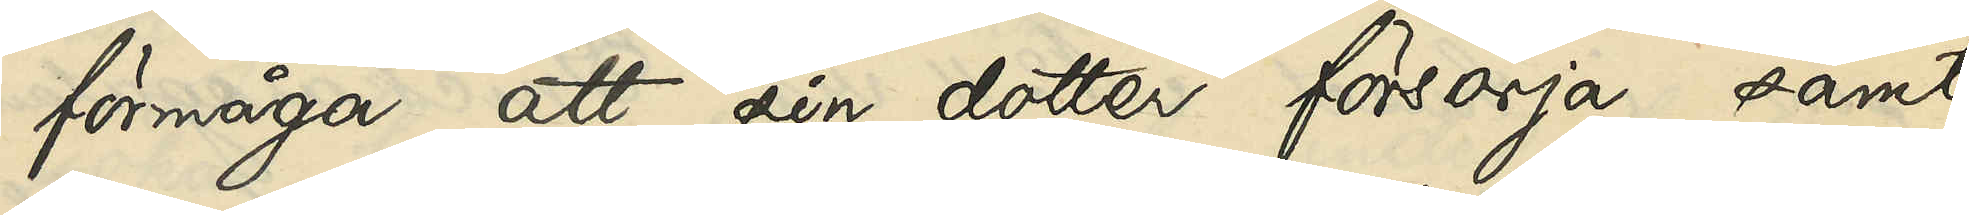förmåga att sin dotter försörja samt
